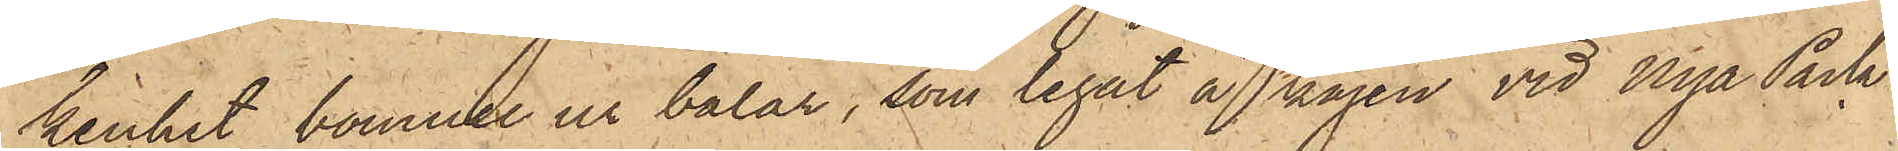kenhet bomull ur balar, som legat å kajen vid Nya Pack¬
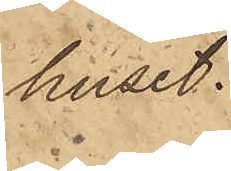huset.
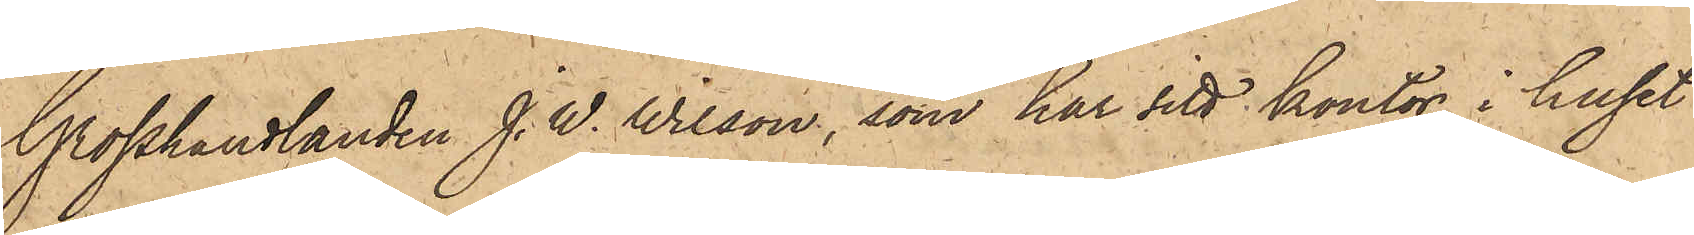Grosshandlanden J. W. Wilson, som har sitt kontor i huset
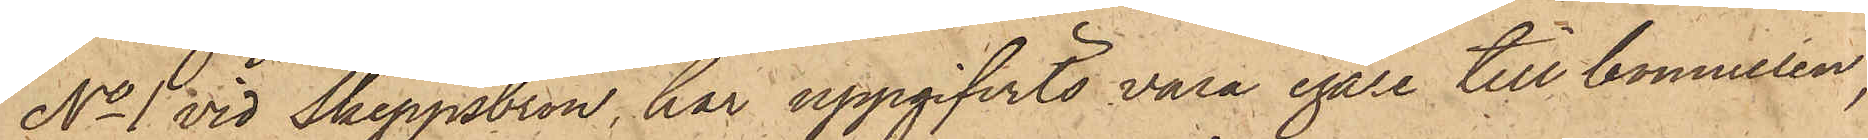No 1 vid Skeppsbron, har uppgifvits vara egare till bomullen,
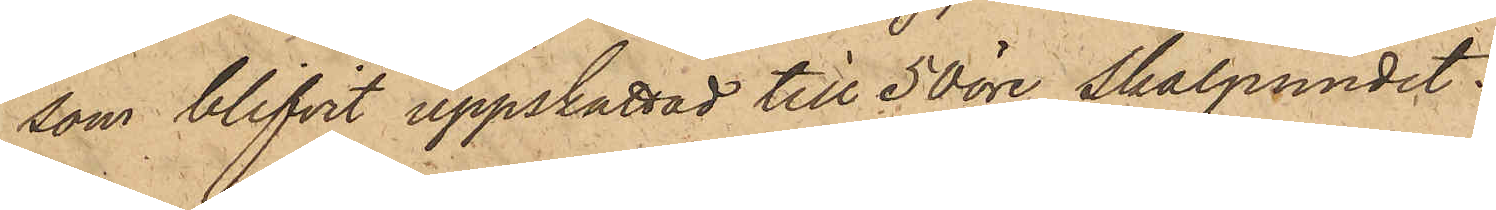som blifvit uppskattad till 50 öre skålpundet.
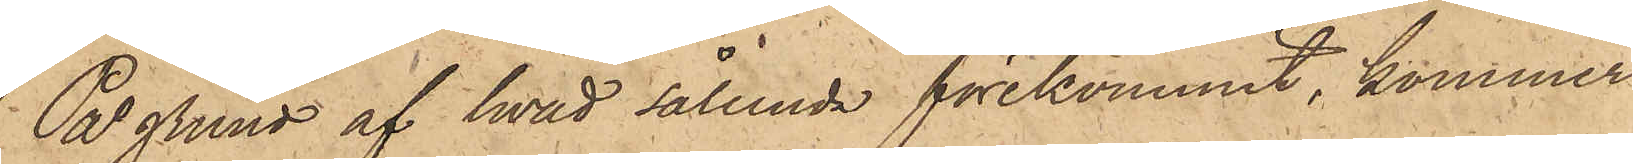På grund af hvad sålunda förekommit, kommer
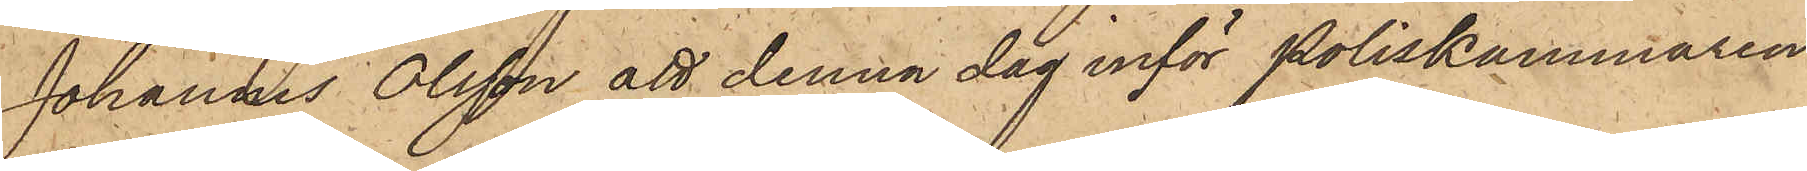Johannes Olsson att denna dag inför Poliskammaren
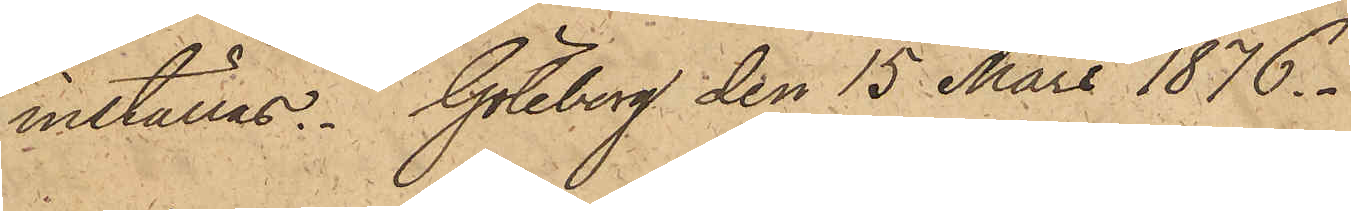inställas. Göteborg den 15 Mars 1876.
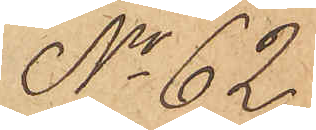No 62.
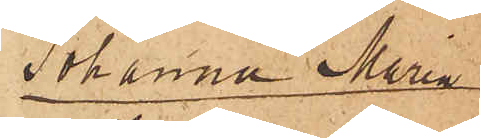Johanna Maria
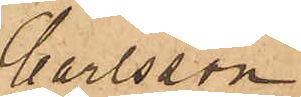Carlsson
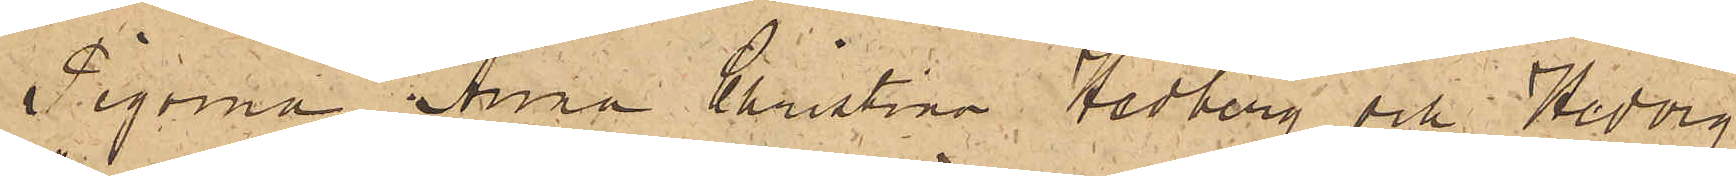Pigorna Anna Christina Hedberg och Hedvig
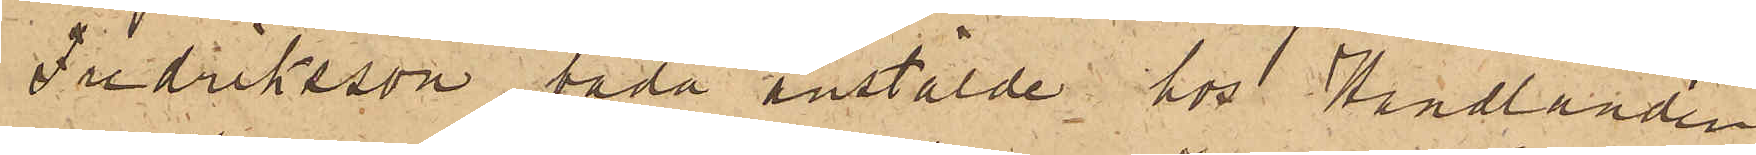Fredriksson, båda anstälde hos Handlanden
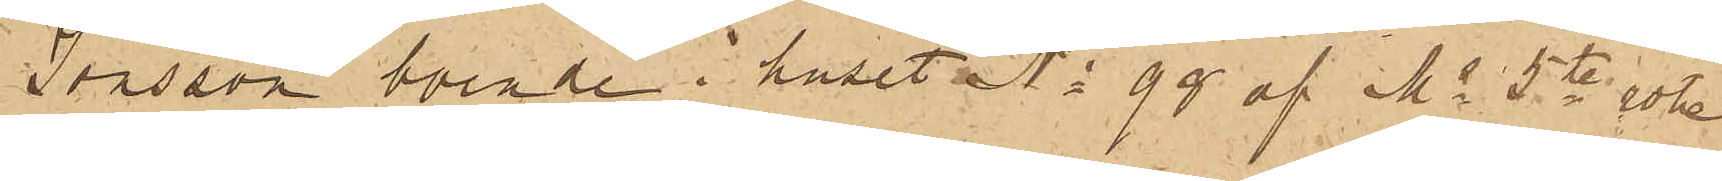Jonsson boende i huset No 99 af Ms 5te rote,
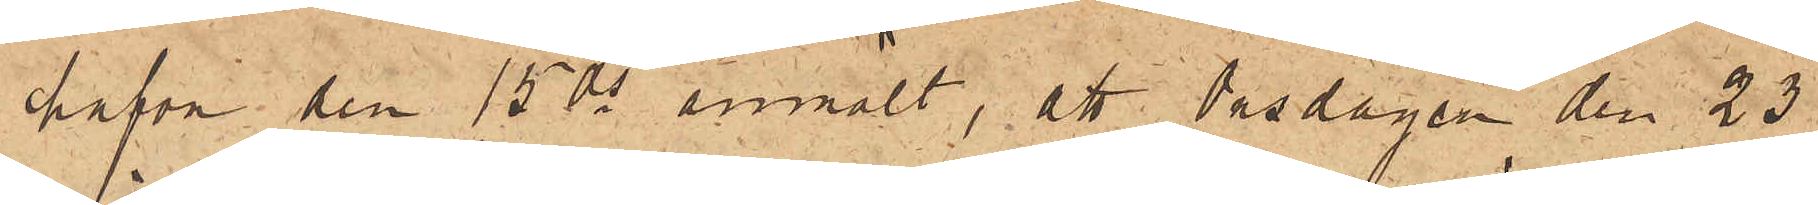hafva den 15 ds anmält, att Tisdagen den 23
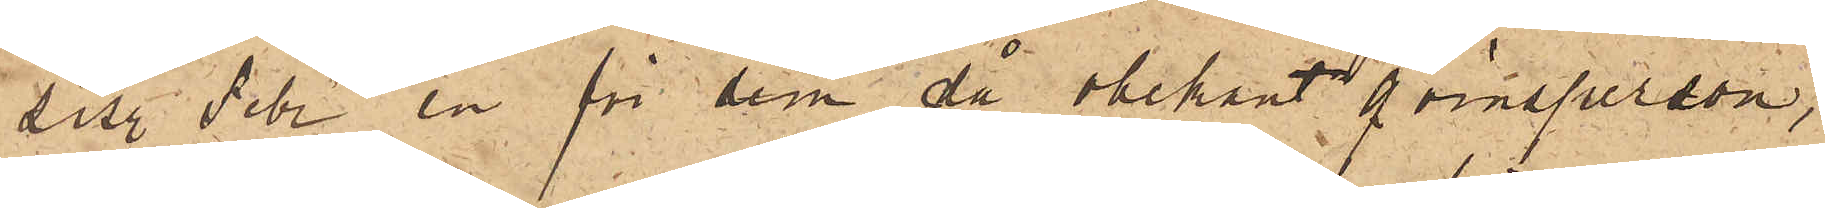sistl Febr en för dem då obekant qvinsperson,
